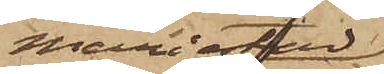Mariestad,
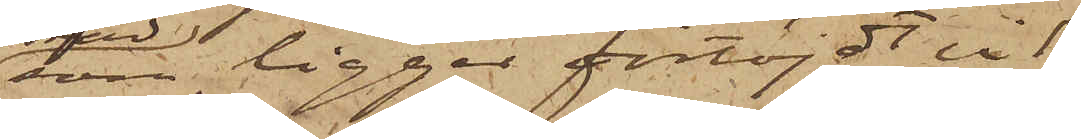som ligger förtöjdt vid
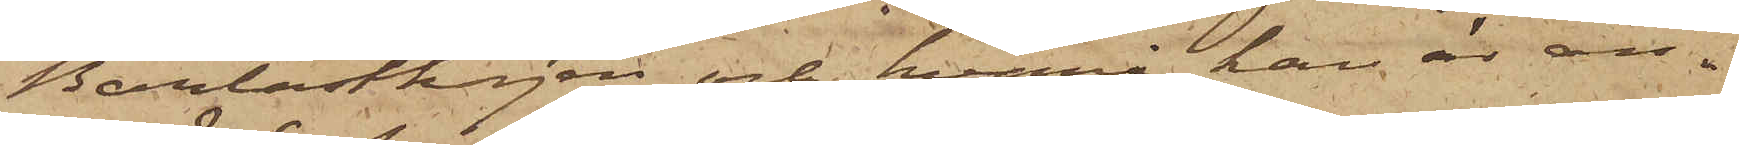Barlastkajen och hvarå han är an¬
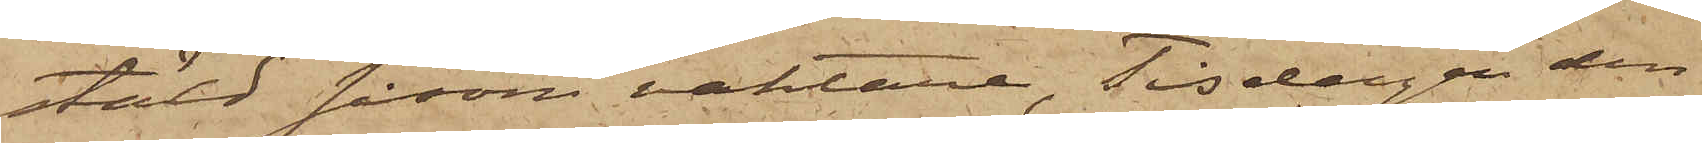stäld såsom vaktare, Tisdagen den
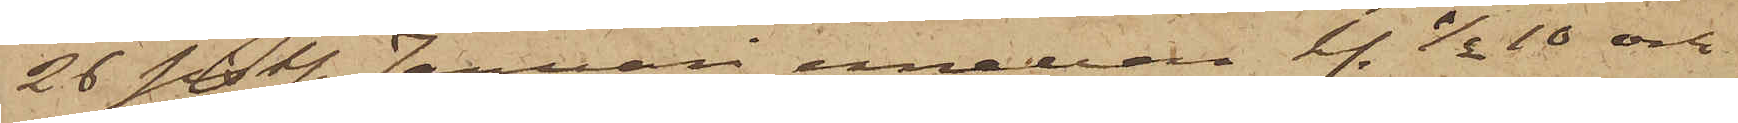26 sistl. Januari emellan kl. 1/2 10 och
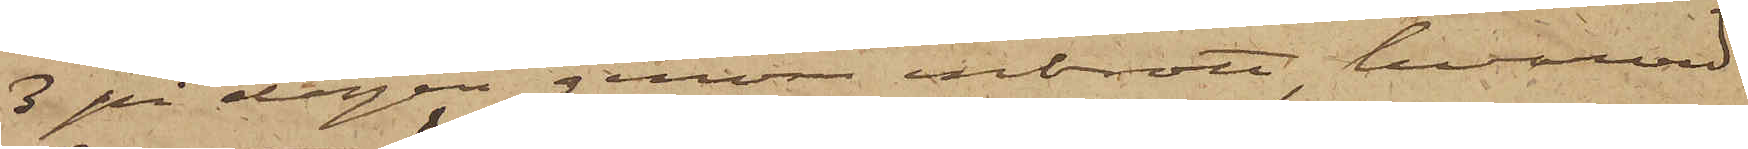3 på dagen genom inbrott, hvarvid
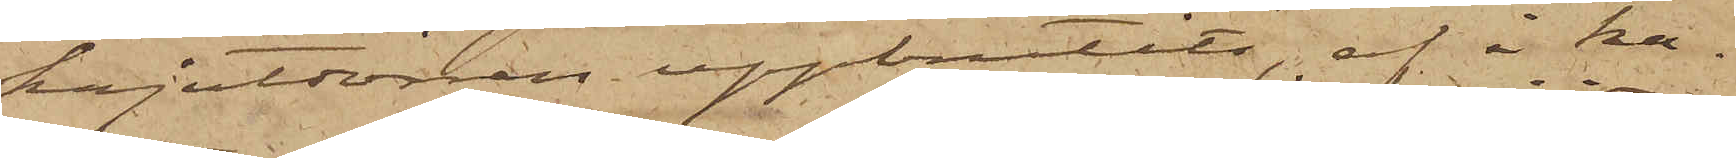kajutdörren uppbrutits, af i ka¬
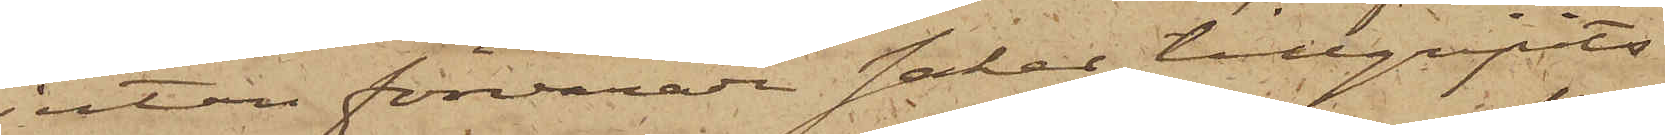jutan förvarade saker tillgripits
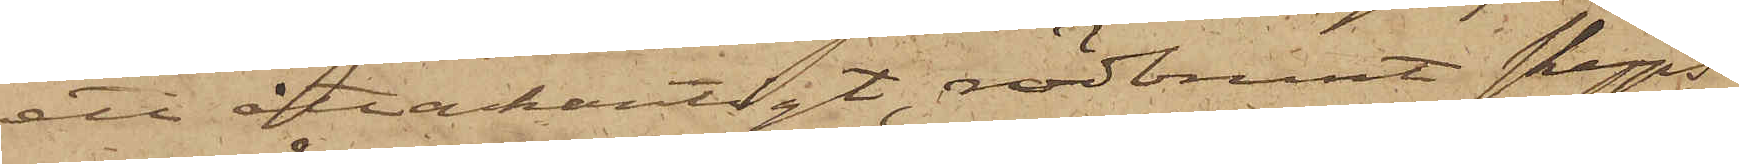ett åttakantigt rödbrunt skepps¬
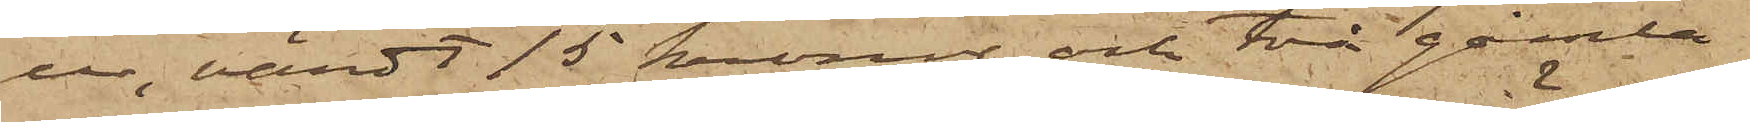ur, värdt 15 kronor och två gamla
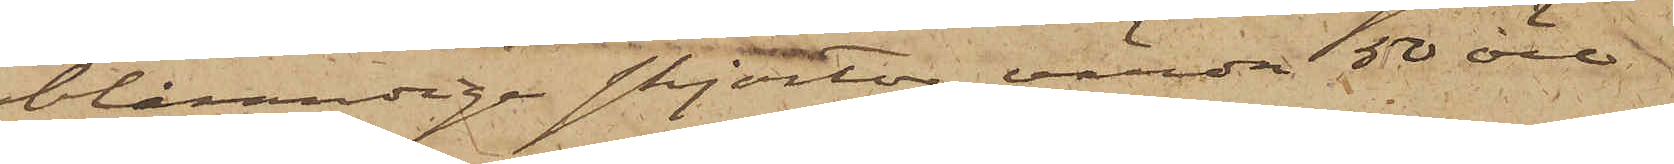blårandige skjortor, värda 50 öre
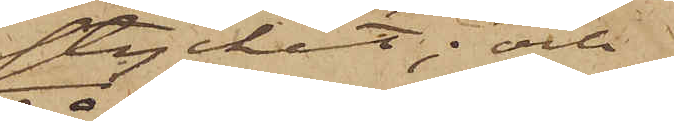stycket; och
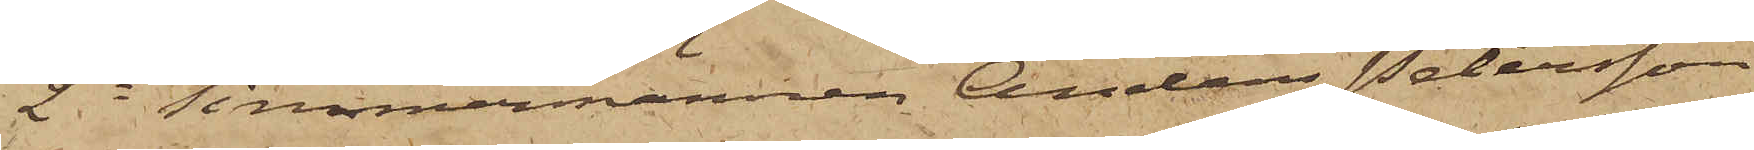2o Timmermännen Anders Petersson
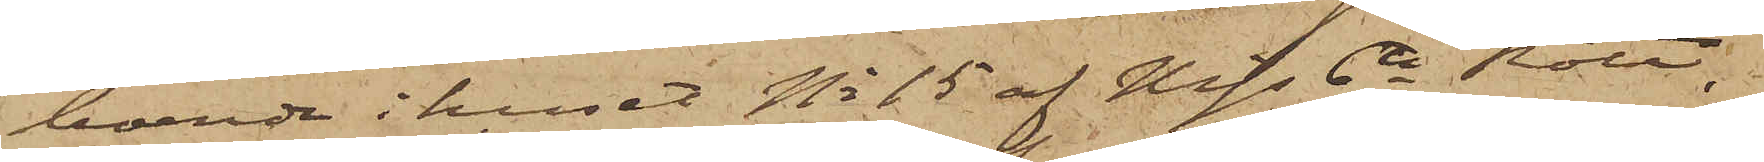boende i huset No 15 af Mjs 6te Rote.
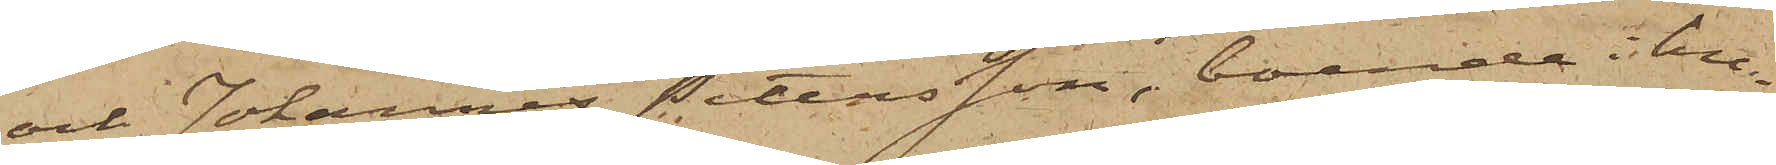och Johannes Petersson, boende i hu¬
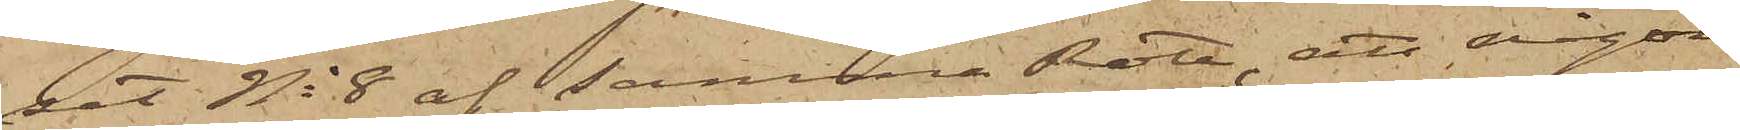set No 8 af samma Rote, att någon
